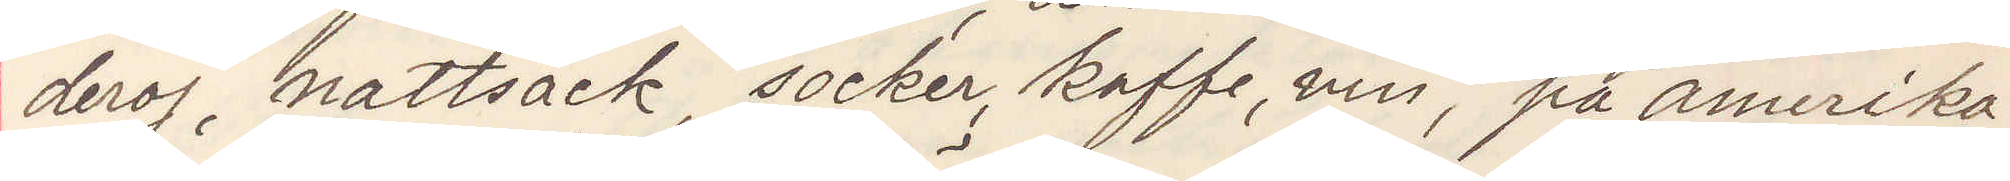deroj, nattsäck, socker, kaffe, vin; på amerika¬
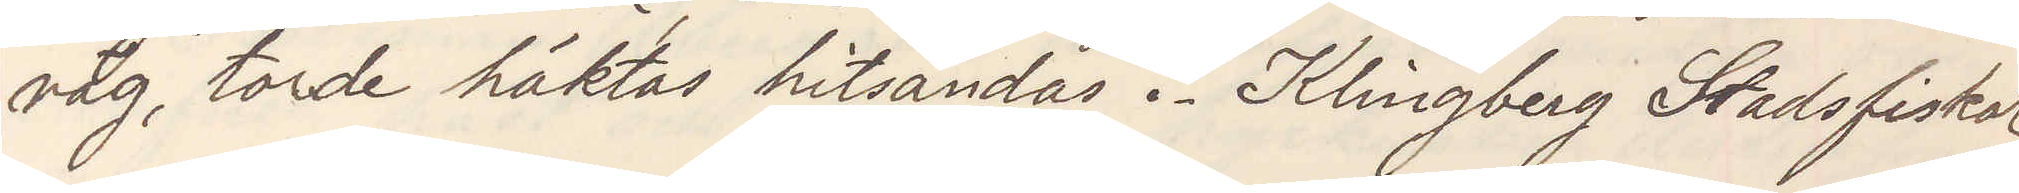väg, torde häktas hitsändas. Klingberg Stadsfiskal
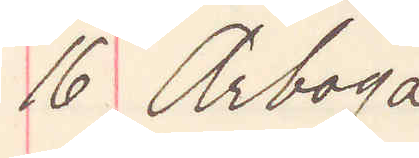16 Arboga
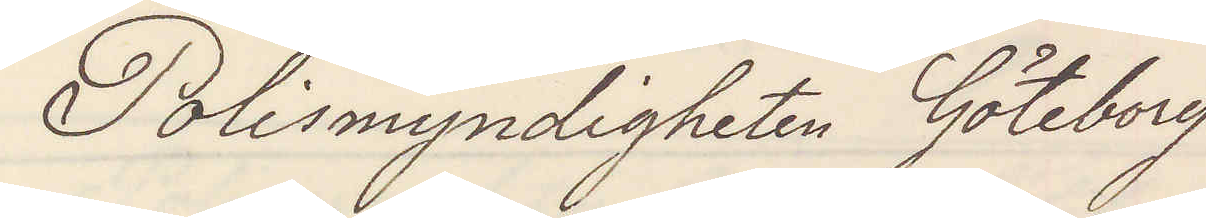Polismyndigheten Göteborg
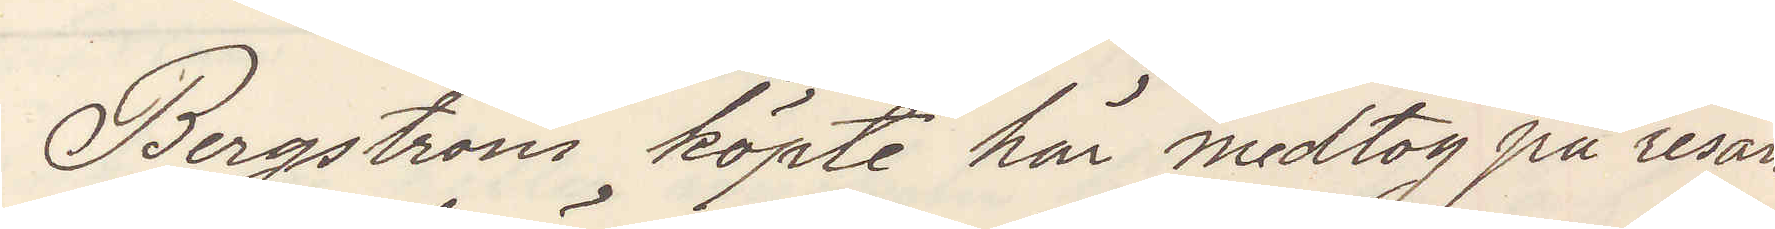Bergström köpte här medtog på resan
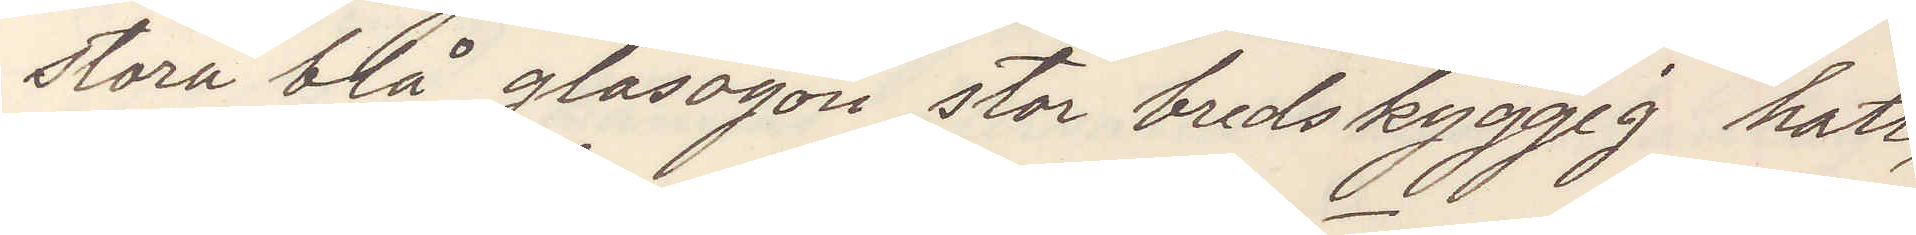stora blåa glasögon stor bredskyggig hatt,
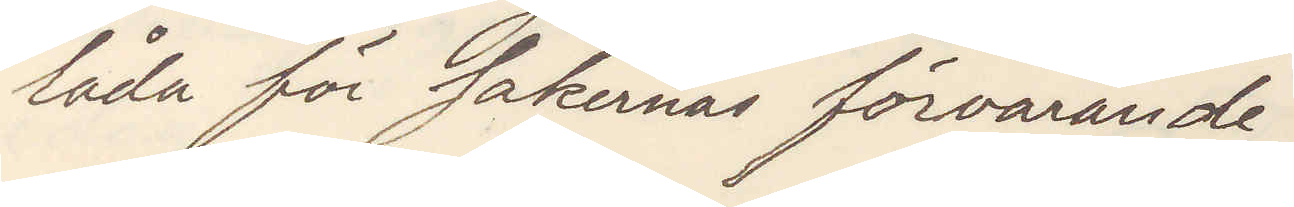låda för sakernas förvarande.
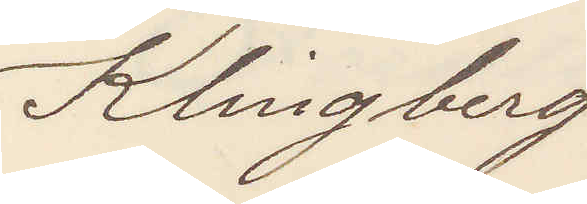Klingberg
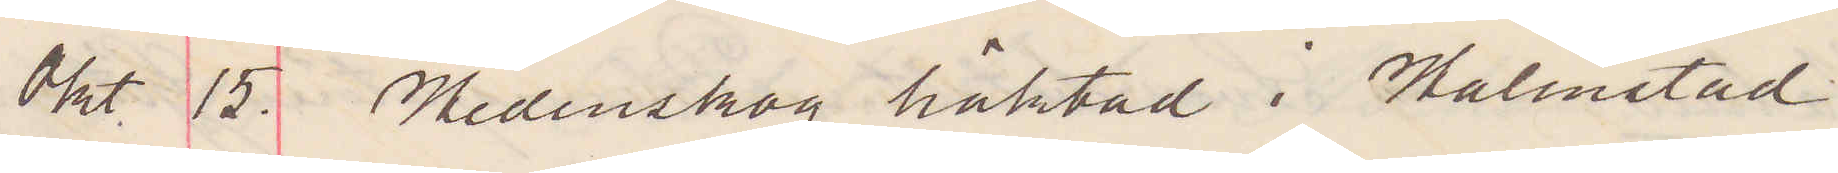Okt 15. Hedenskog häktad i Halmstad.
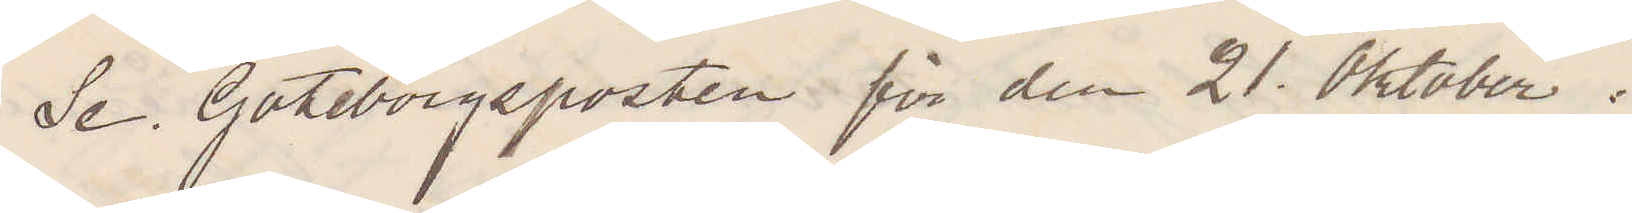Se Göteborgsposten för den 21 Oktober.
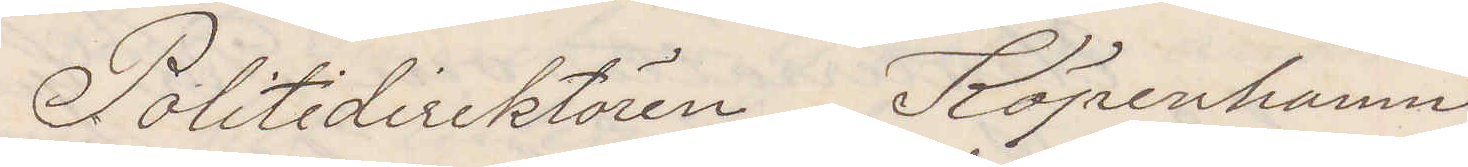Politidirektören Köpenhamn
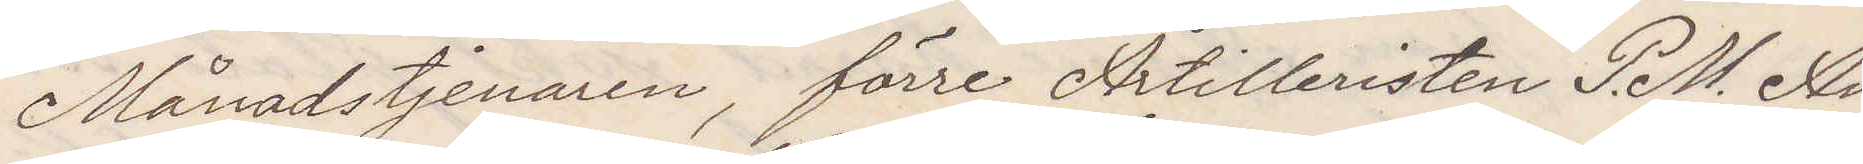Månadstjenaren, förre Artilleristen P. M. An¬
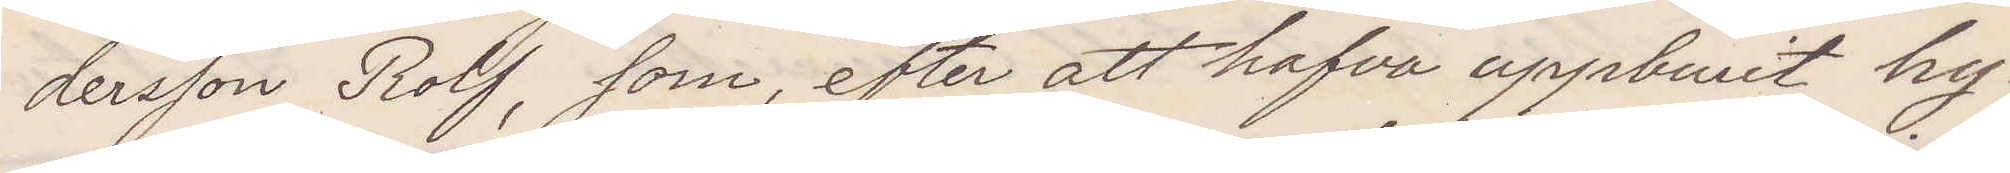dersson Rolf, som efter att hafva uppburit hy¬
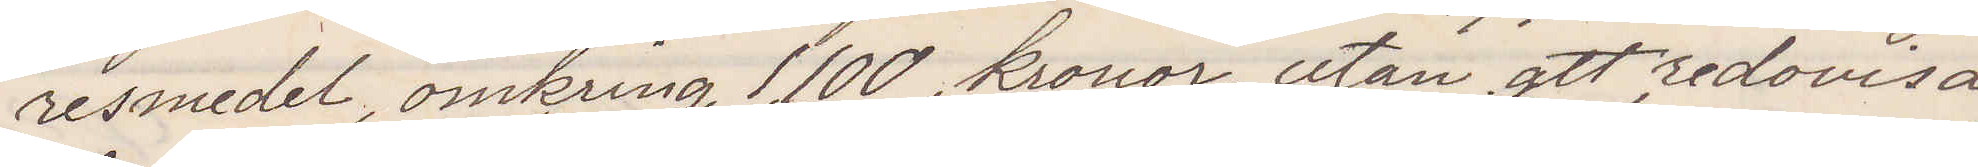resmedel, omkring 1100 kronor, utan att redovisa
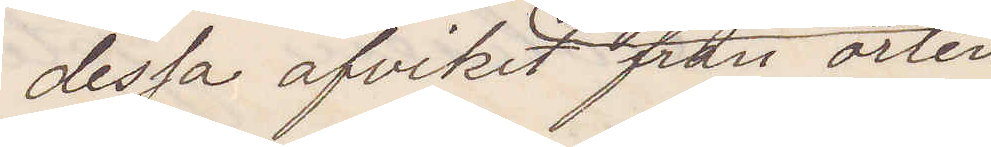dessa afvikit från orten
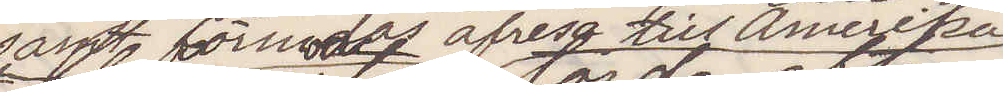samt förmodas afresa till Amerika
